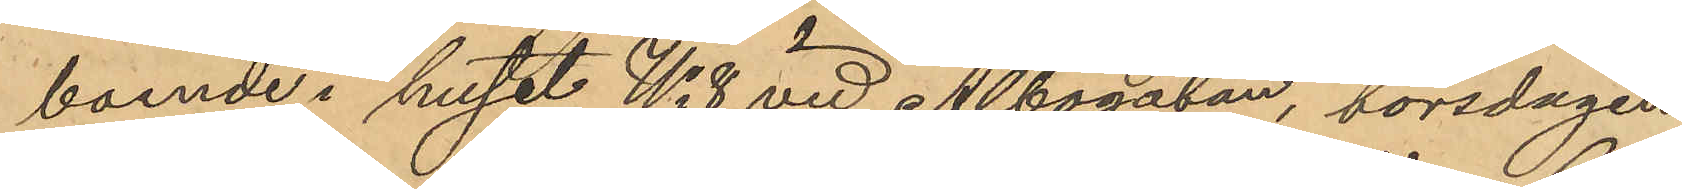boende i huset No 8 vid Albogatan, torsdagen
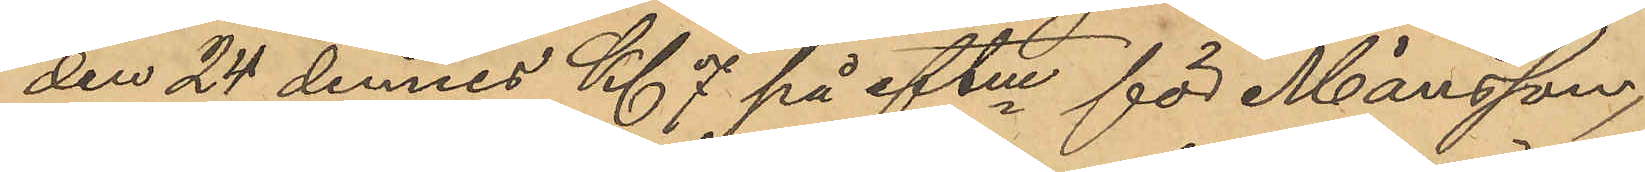den 24 dennes Kl 7 på eftm för Månsson,
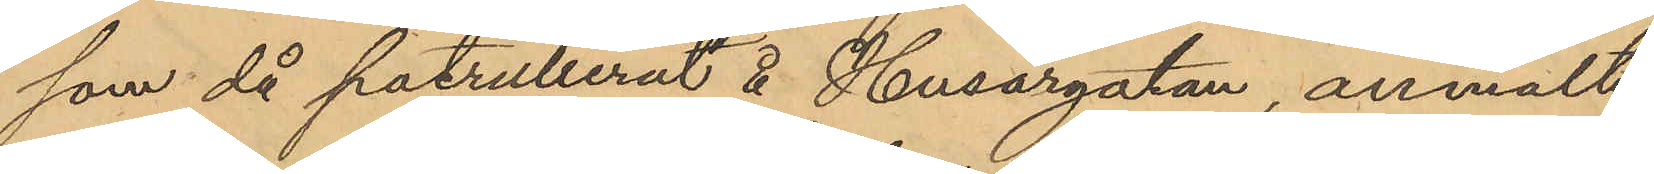som då patrullerut å Husargatan, anmält
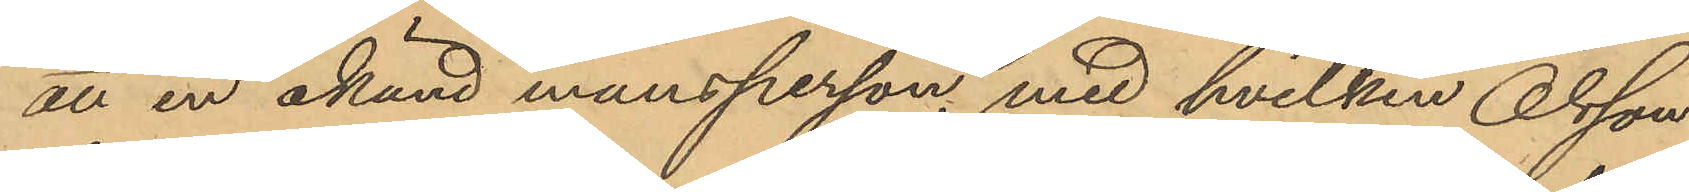att en okänd mansperson, med hvilken Olsson
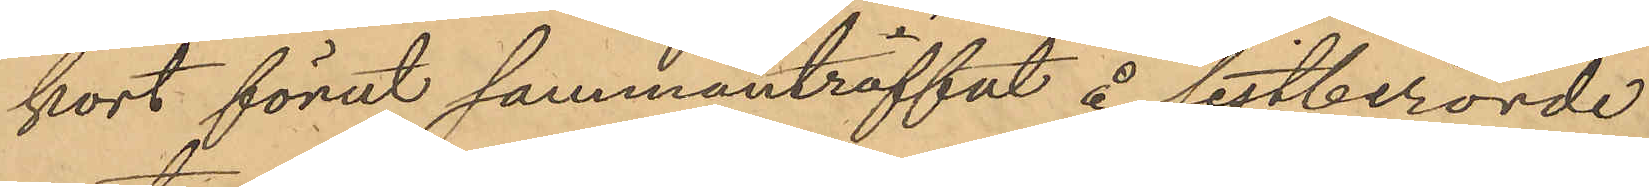kort förut sammanträffat å sistberörde
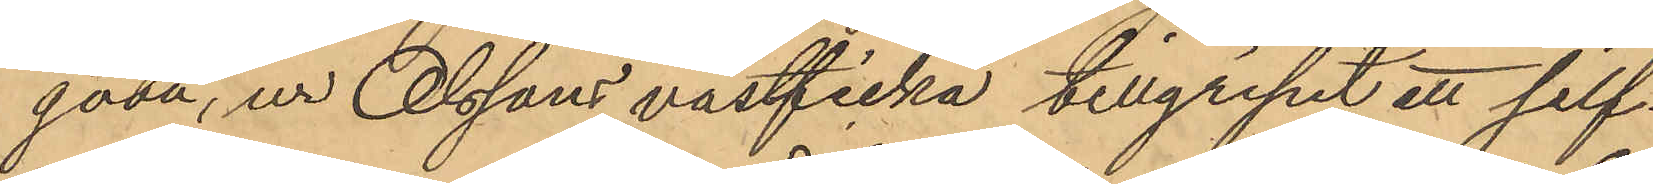gata, ur Olssons västficka tillgripit ett silf¬
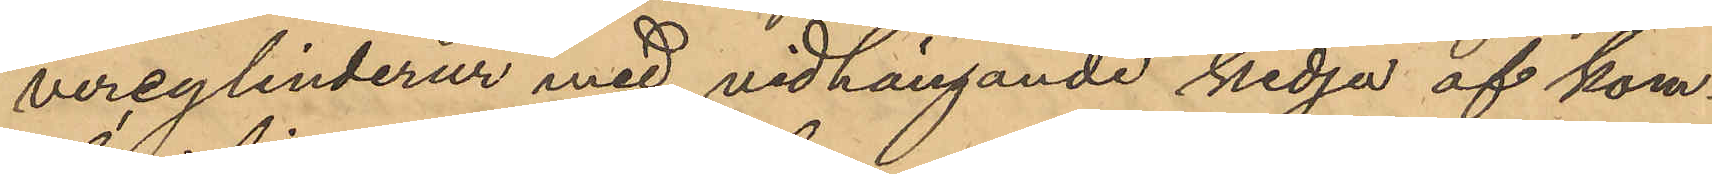vercylinderur med vidhängande kedja af kom¬
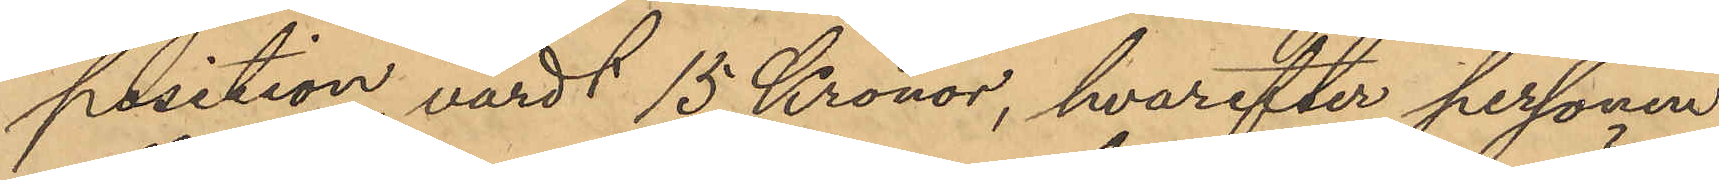position, värdt 15 Kronor, hvarefter personen
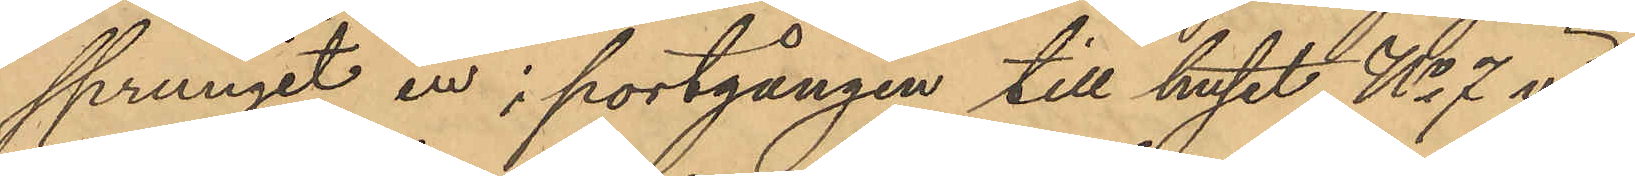sprungit in i portgången till huset No 7 vid
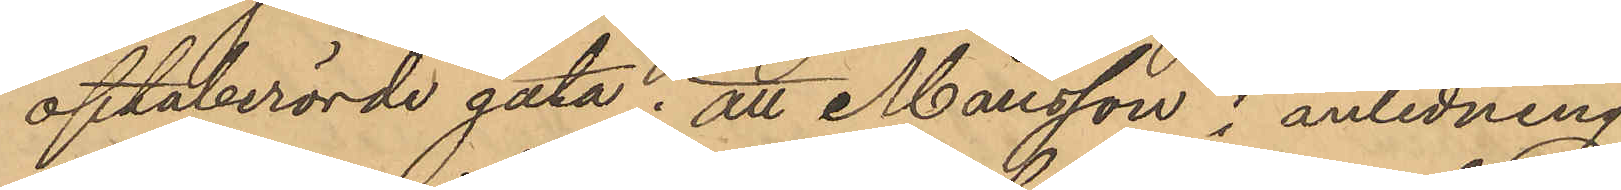oftaberörde gata; att Månsson i anledning
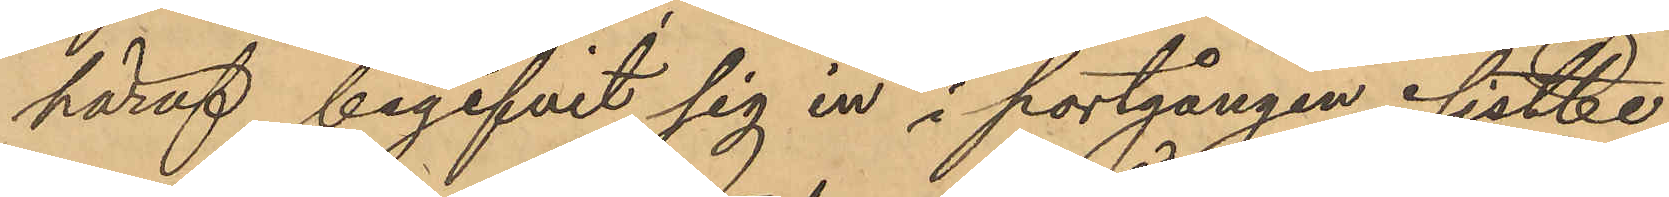häraf begifvit sig in i portgången sistbe¬
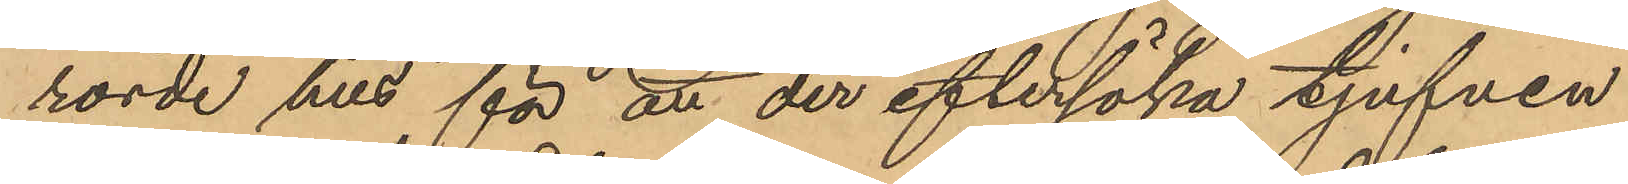rörde hus för att der eftersöka tjufven
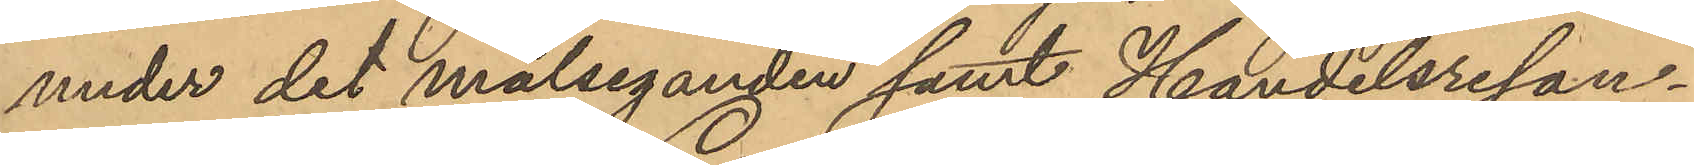under det målseganden samt Handelsresan¬
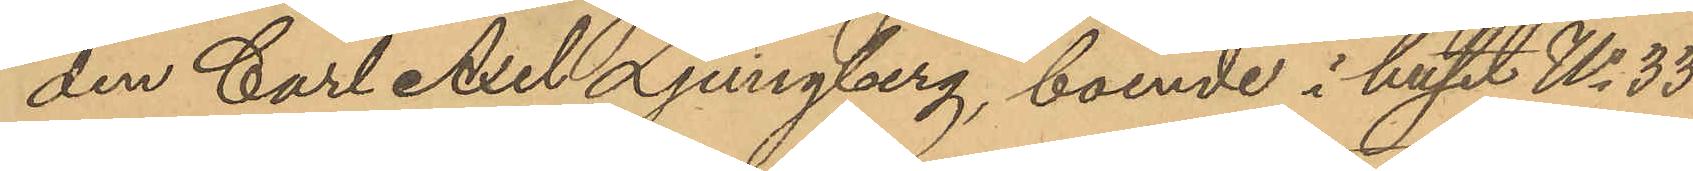den Carl Axel Ljungberg, boende i huset No 33
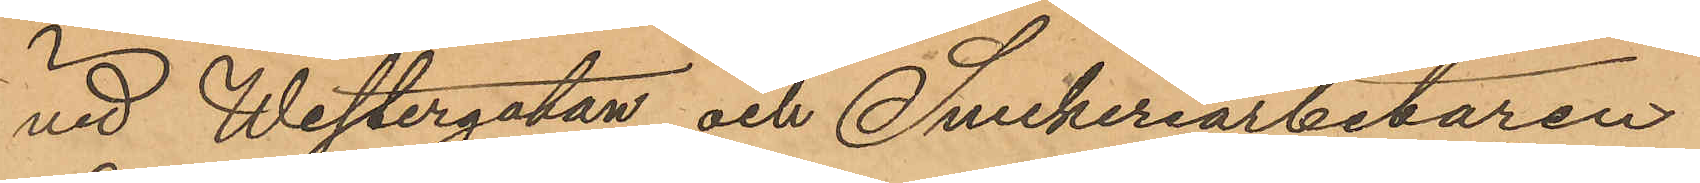vid Westergatan och Snickeriarbetaren
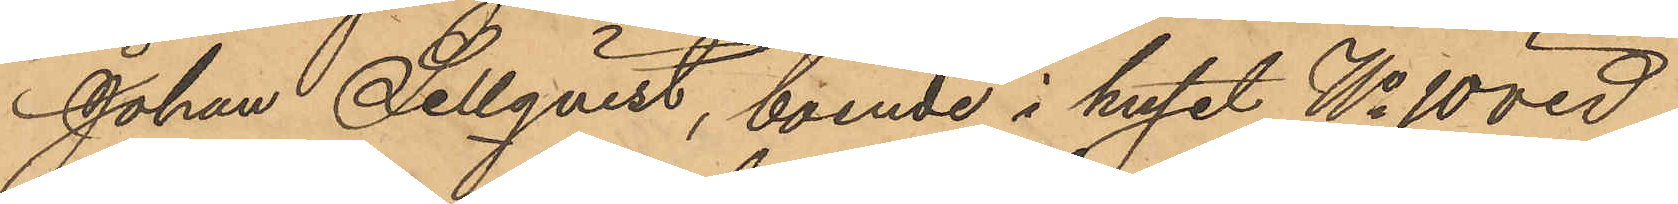Johan Sellqvist, boende i huset No 10 vid
